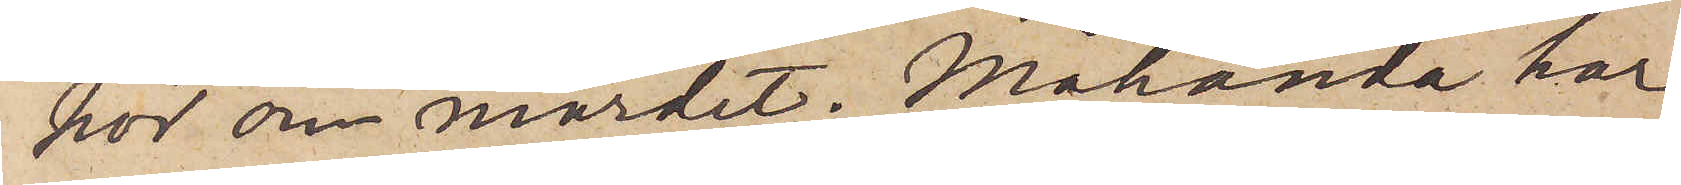hör om mordet. Måhända har
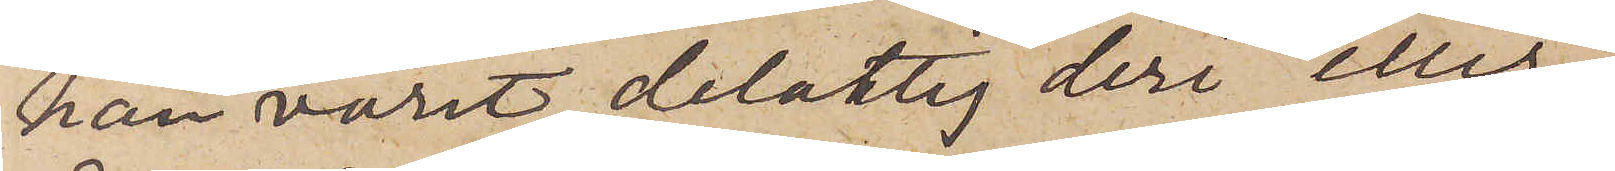han varit delaktig deri eller
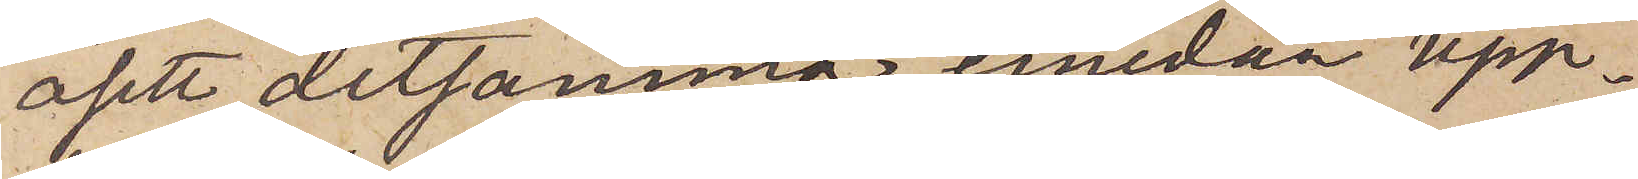åsett detsamma, emedan upp¬
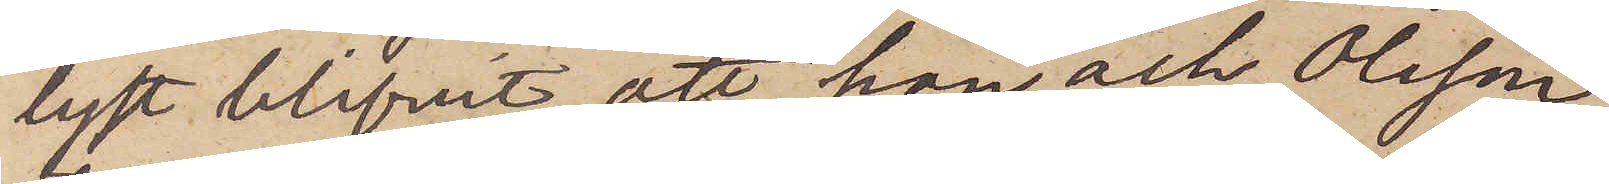lyst blifvit, att han och Olsson
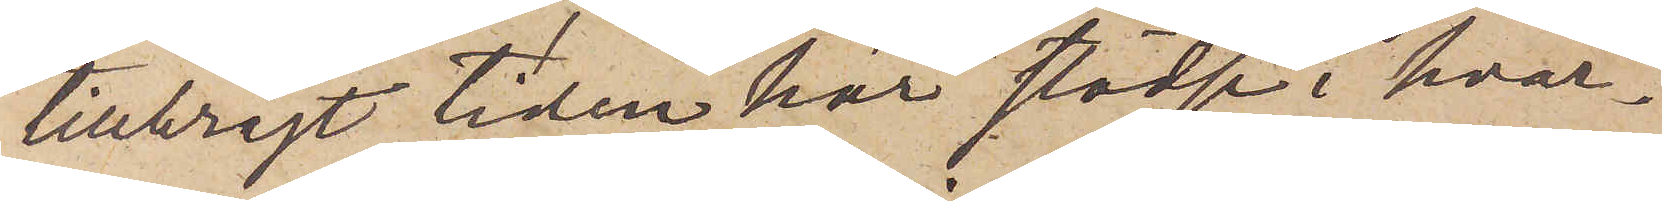tillbragt tiden här städse i hvar¬
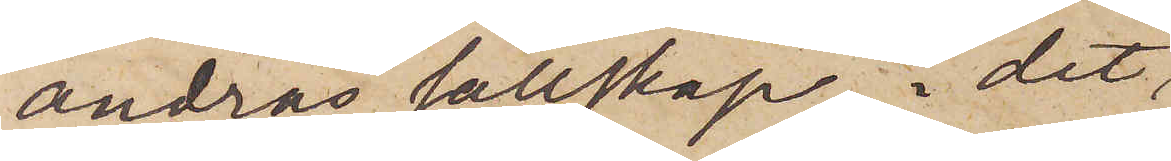andras sällskap, i det 
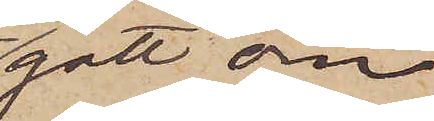gått om¬
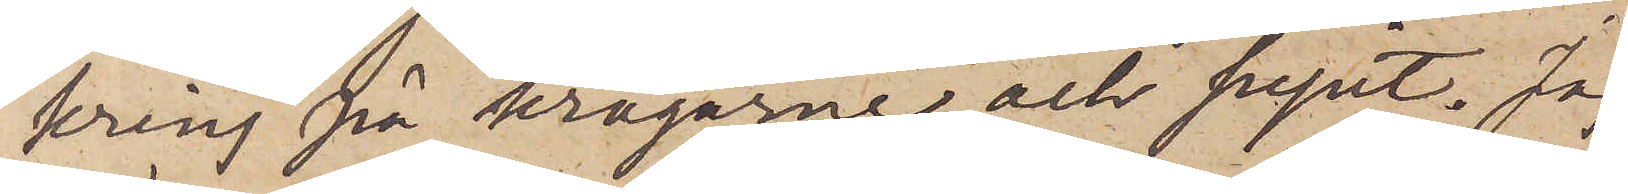kring på krogarne och supit. Jag
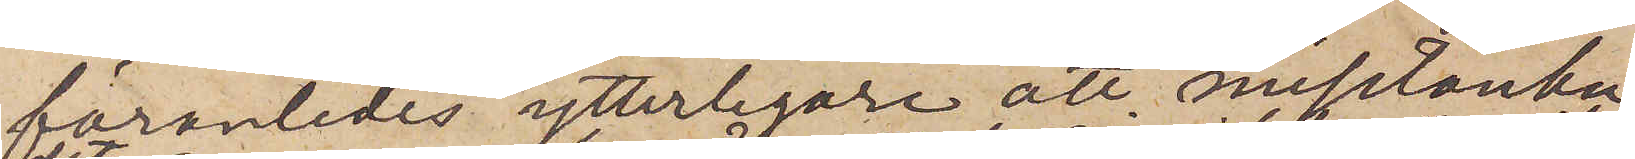föranledes ytterligare att misstänka
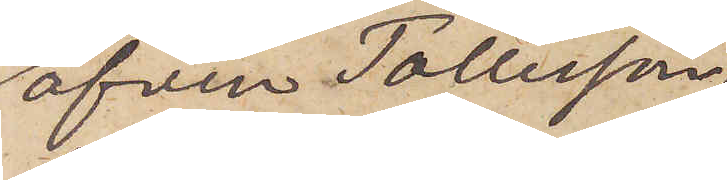äfven Tollesson
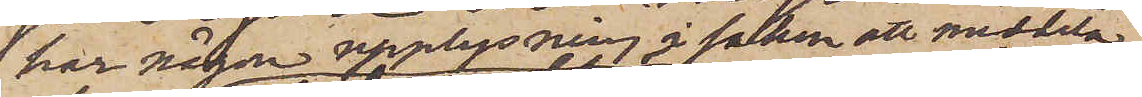har någon upplysning i saken att meddela
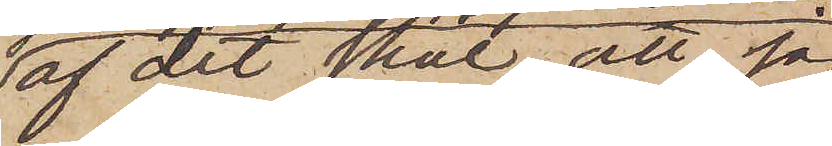af det skäl, att jag
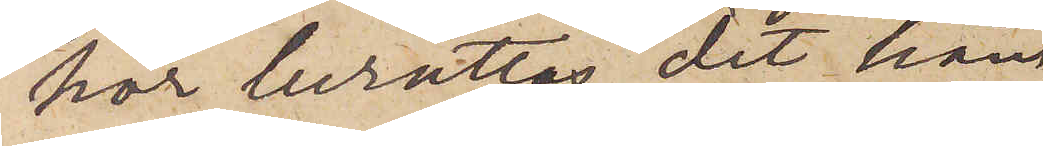hör berättas, det han
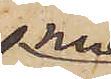nu
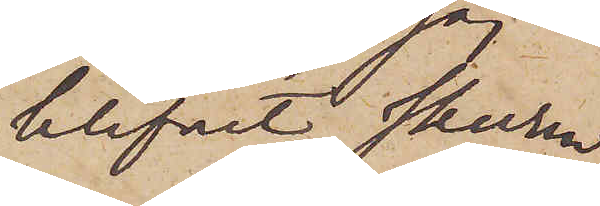blifvit skuren
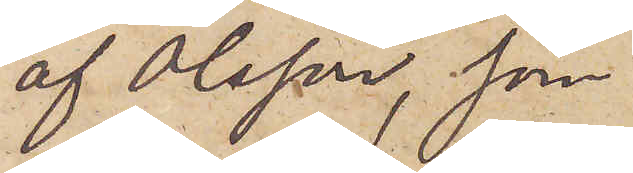af Olsson, som
